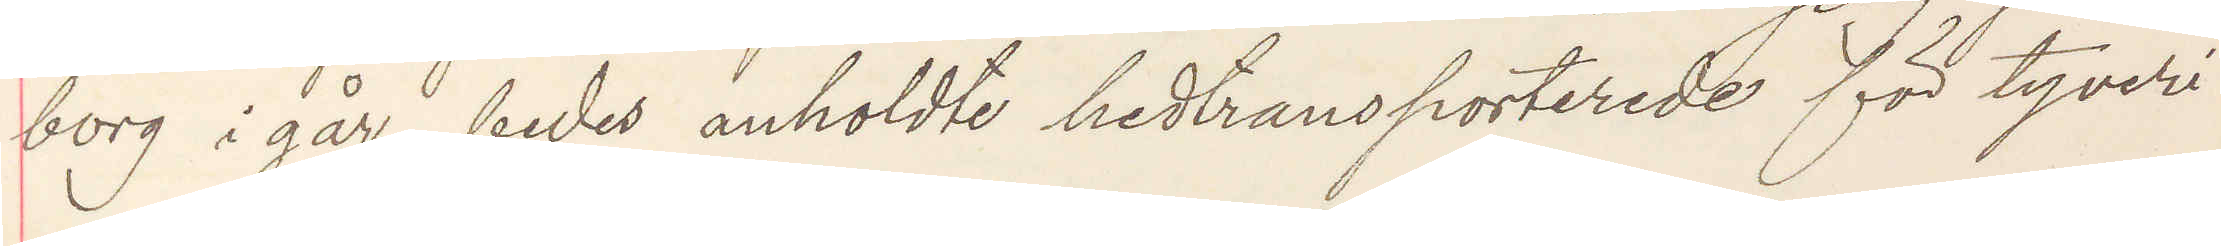borg i går, bedes anholdte hedtransporterede för tyveri
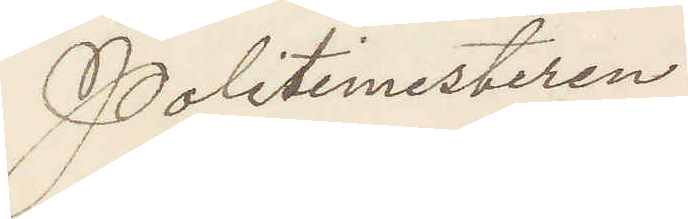Politimesteren
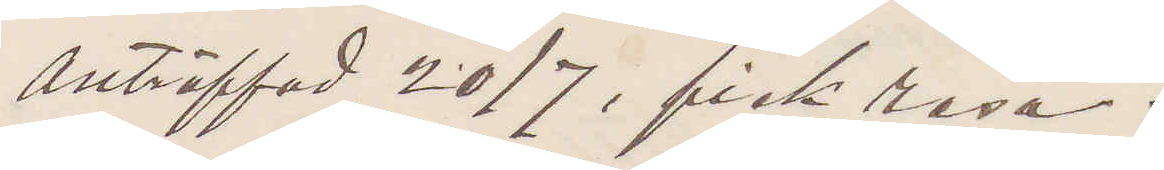anträffad 20/7, fick resa.
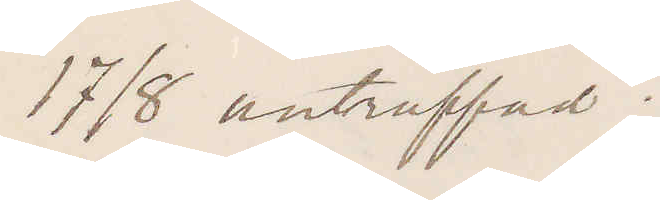17/8 anträffad.
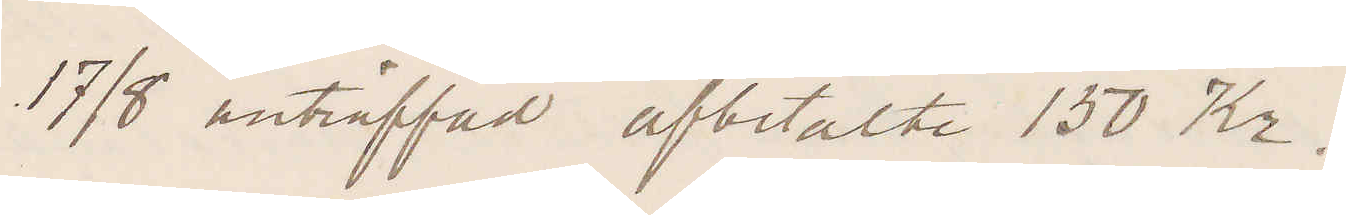17/8 anträffad afbetalte 150 Kr.
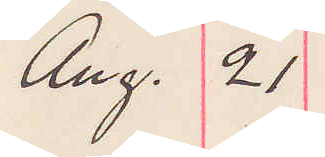Aug. 21
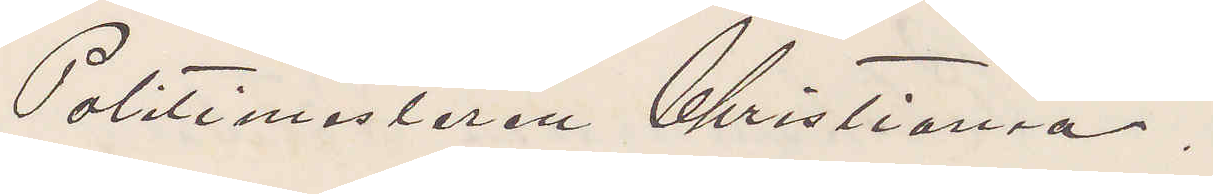Politimästaren Christiania.
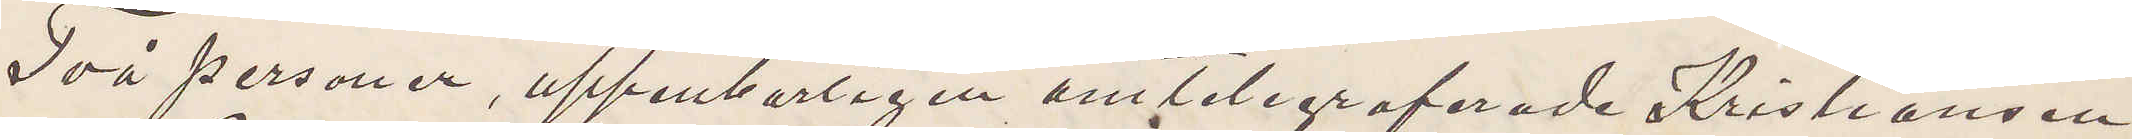Två personer, uppenbarligen omtelegraferade Kristiansen
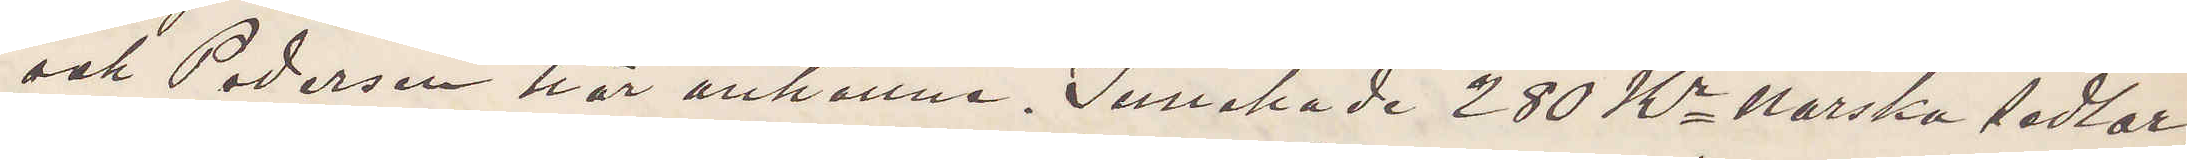och Pedersen här anhållne. Innehade 280 Kr norska sedlar,
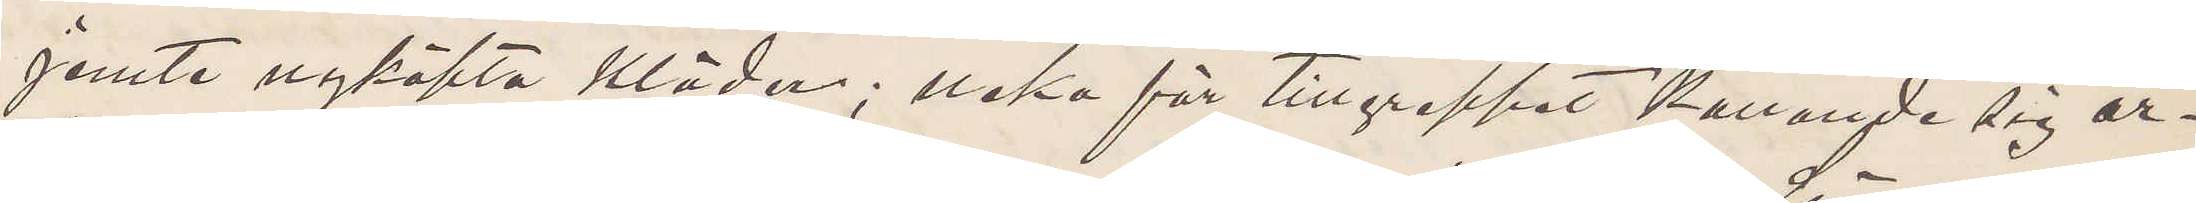jemte nyköpta kläder; neka för tillgreppet kallande sig ar¬
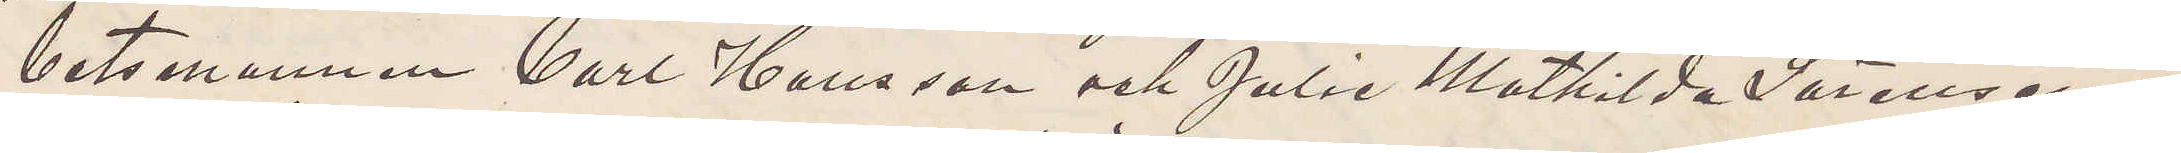betsmannen Carl Hansson och Julie Mathilda Sörensen
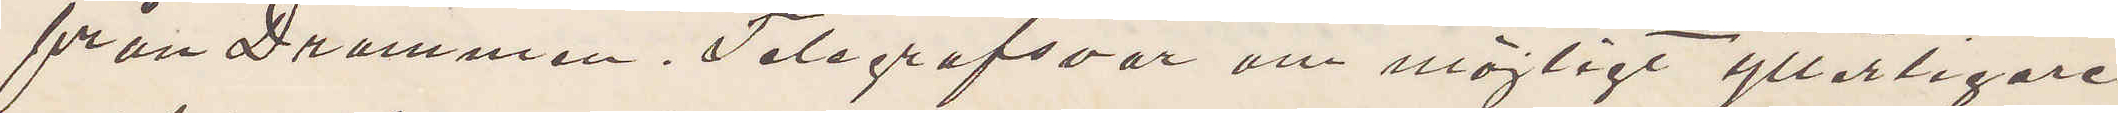från Drammen. Telegrafsvar om möjligt ytterligare
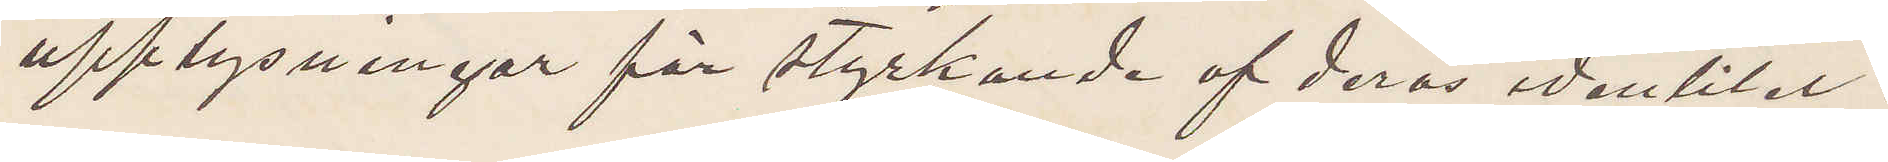upplysningar för styrkande af deras identitet.
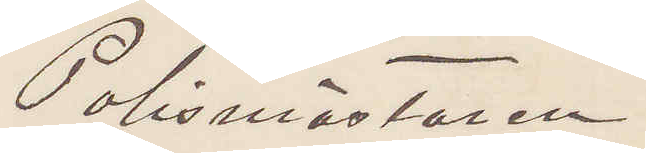Polismästaren.
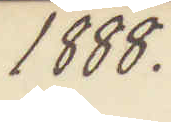1888.
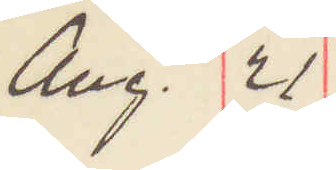Aug. 21
